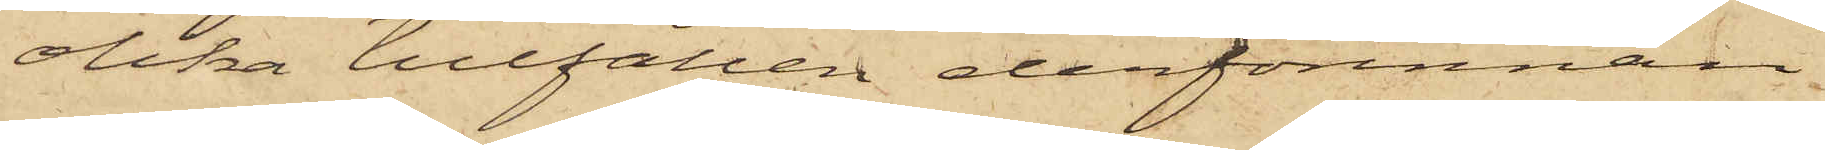olika tillfällen derförinnan
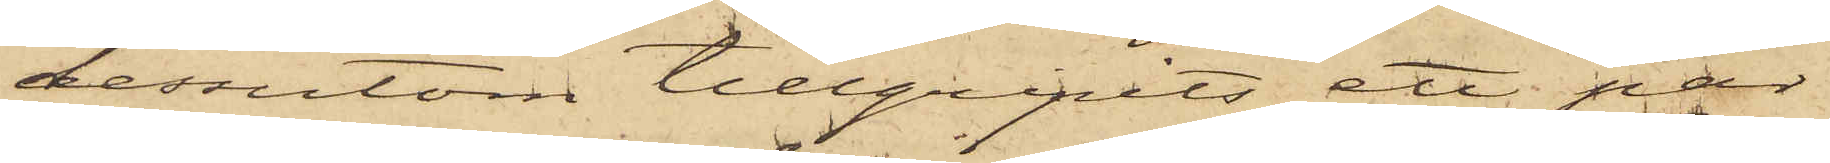dessutom tillgripits ett par
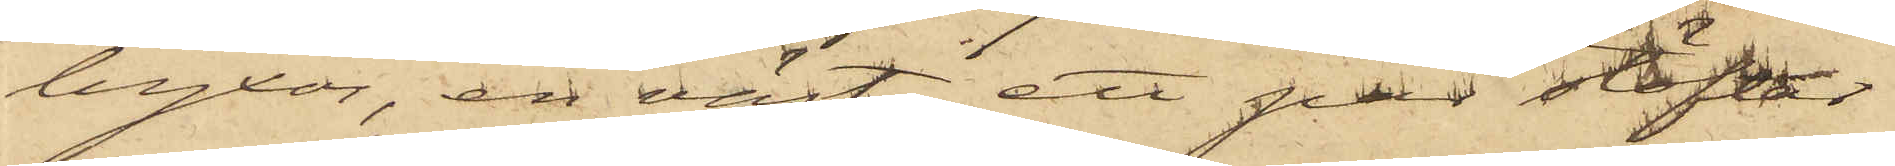byxor, en väst, ett par stöflar
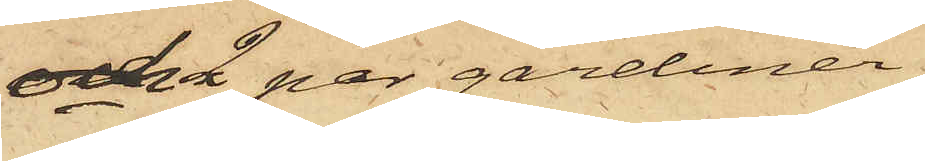och 2 par gardiner,
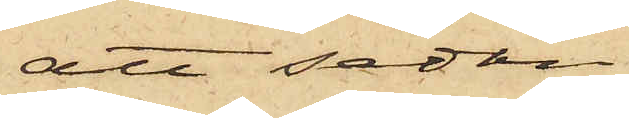att sedan
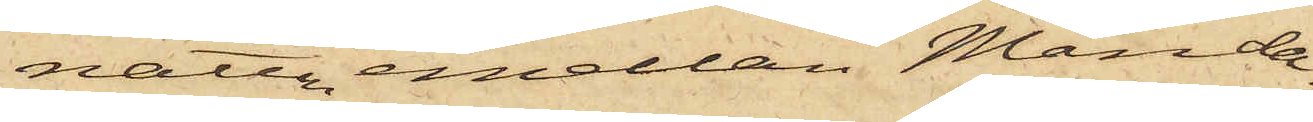natten emellan Månda¬
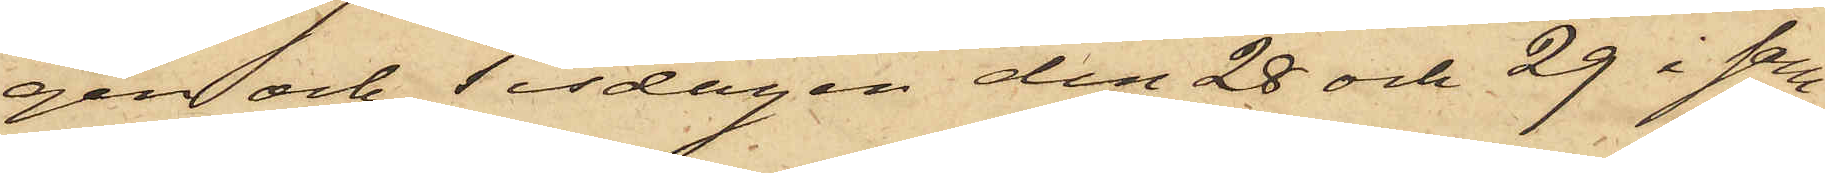gen och Tisdagen den 28 och 29 i sam¬
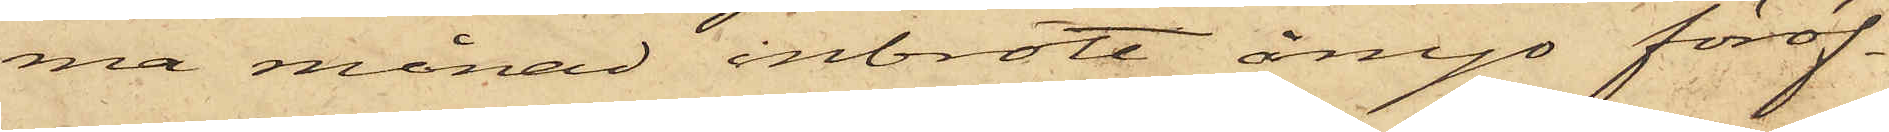ma månad inbrott ånyo föröf¬
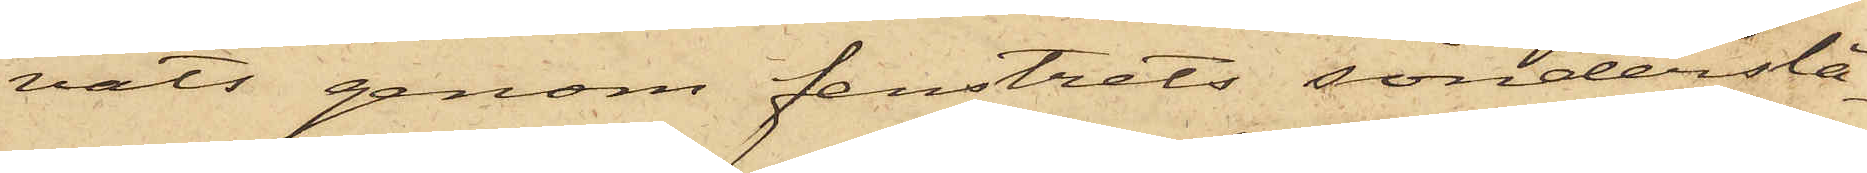vats genom fenstrets sönderslå¬
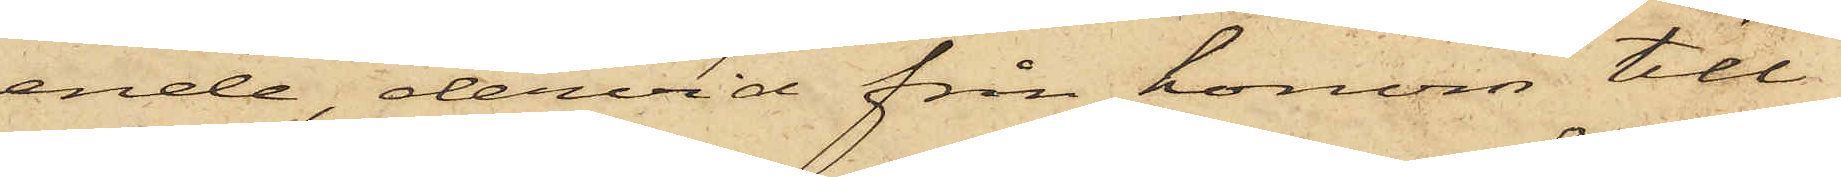ende, dervid från honom till¬
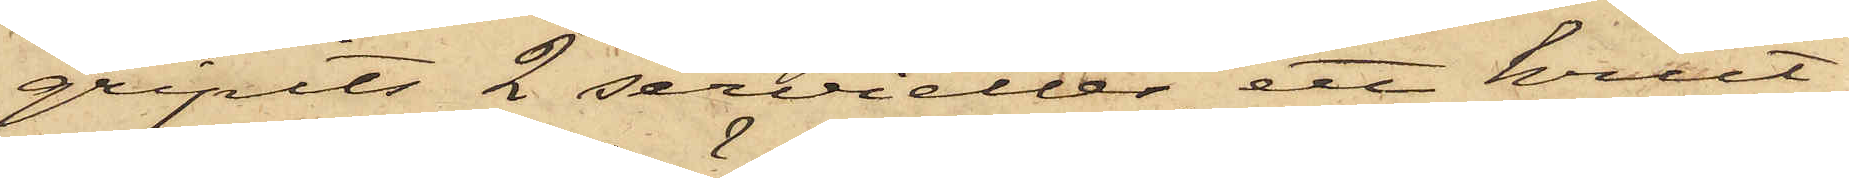gripits 2 servietter, ett krut¬
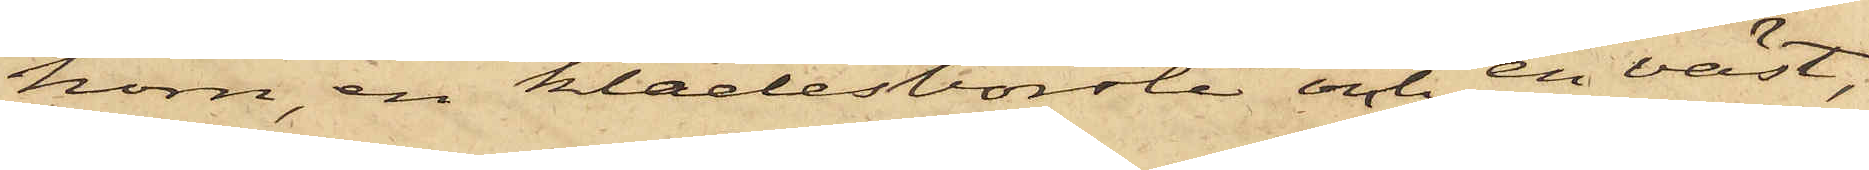horn, en klädesborste och en väst,
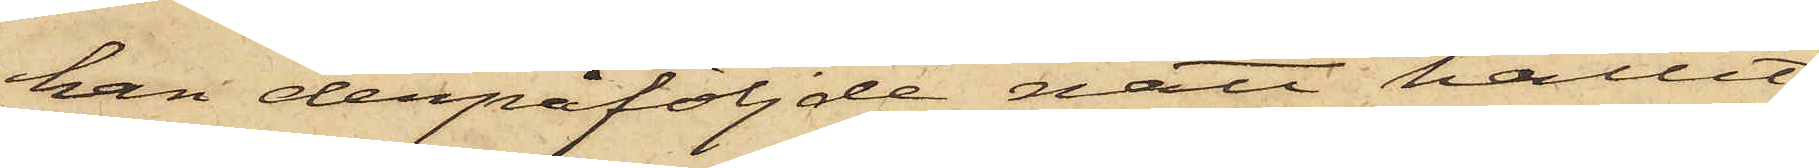han derpåföljde natt hållit
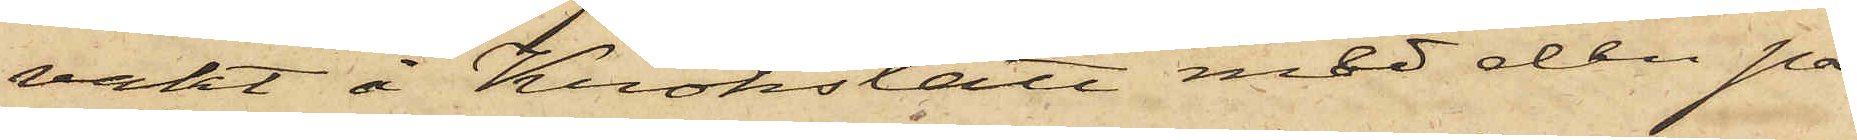vakt å Krokslätt med den på
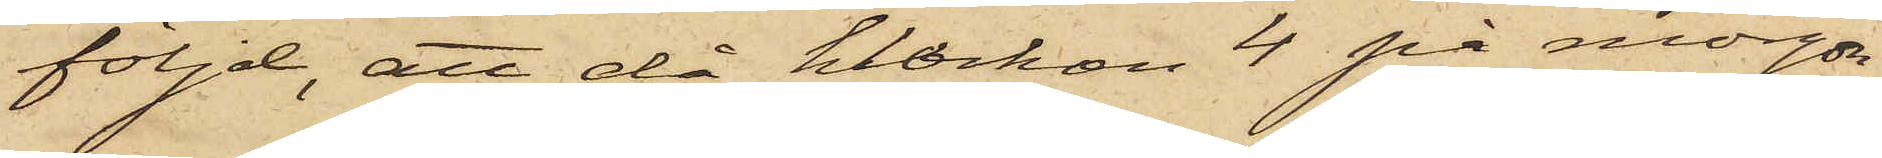följd, att då klockan 4 på morgon
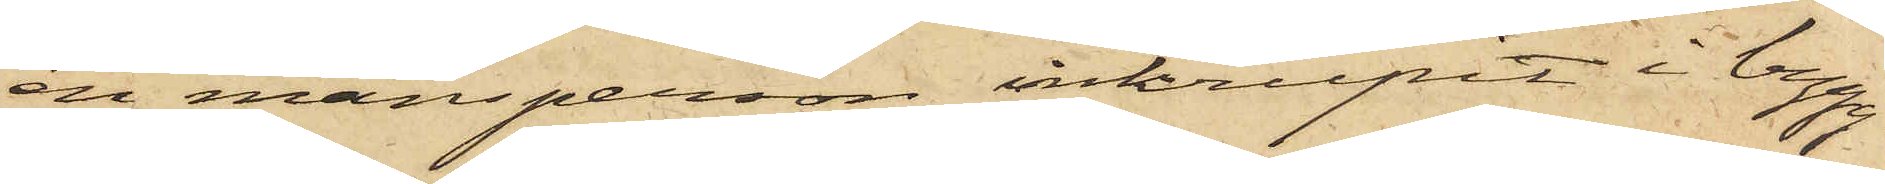ett mansperson inkrupit i bygg¬
